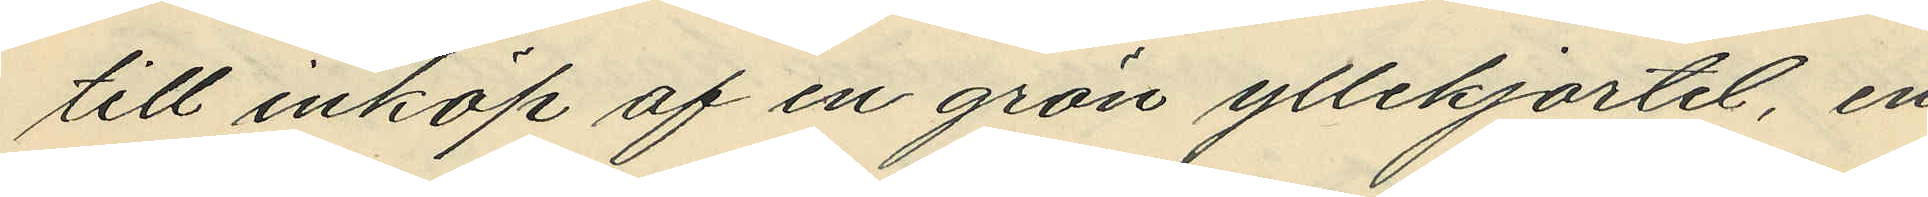till inköp af en grön yllekjortet, en
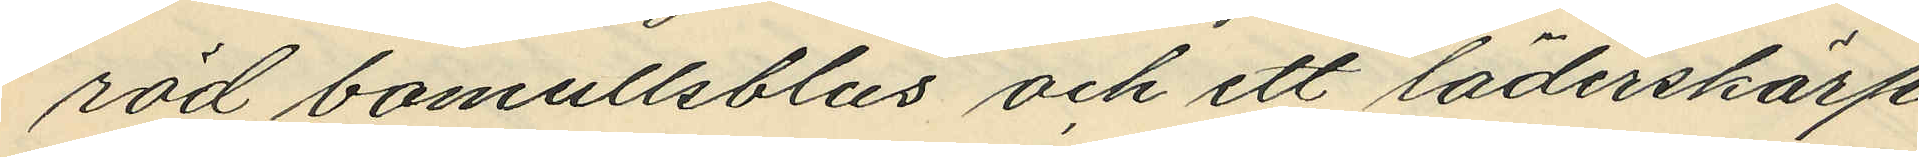röd bomullsblus och ett läderskärp
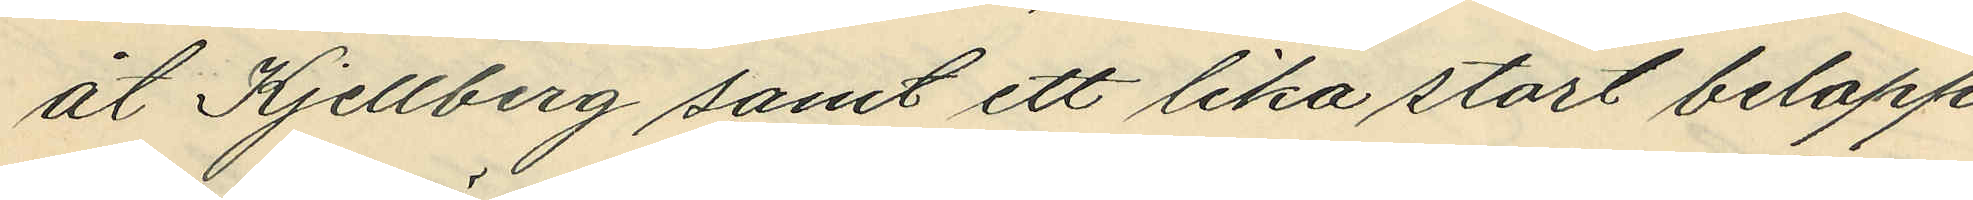åt Kjellberg samt ett lika stort belopp
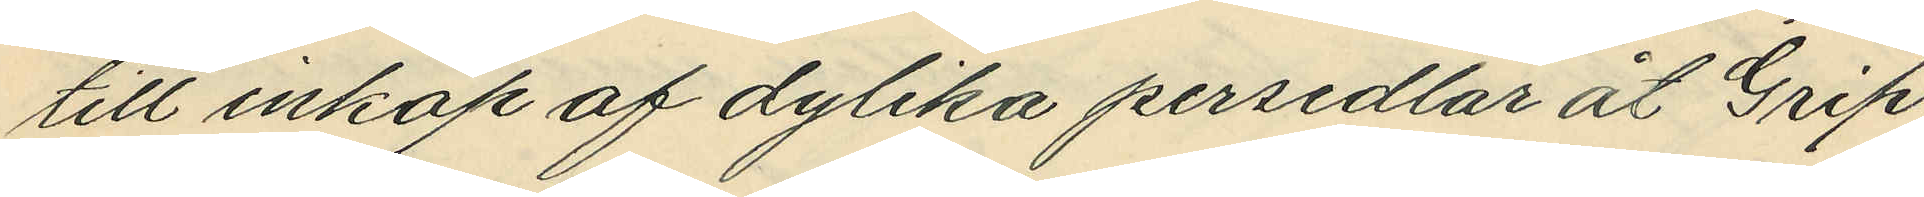till inköp af dylika persedlar åt Grip;
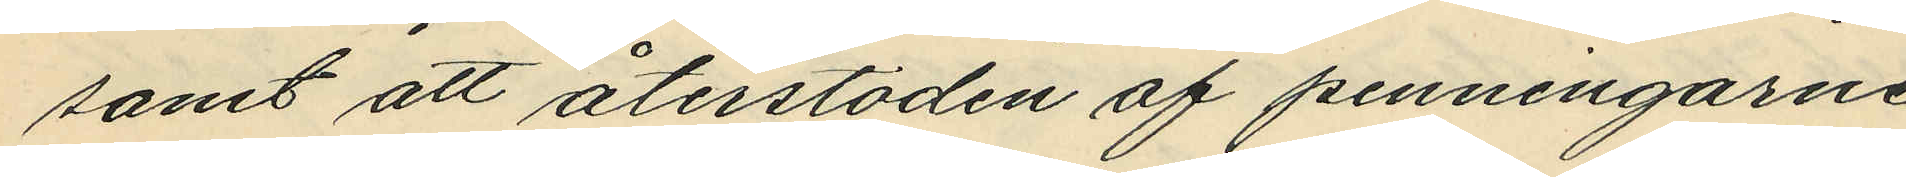samt att återstoden af penningarne
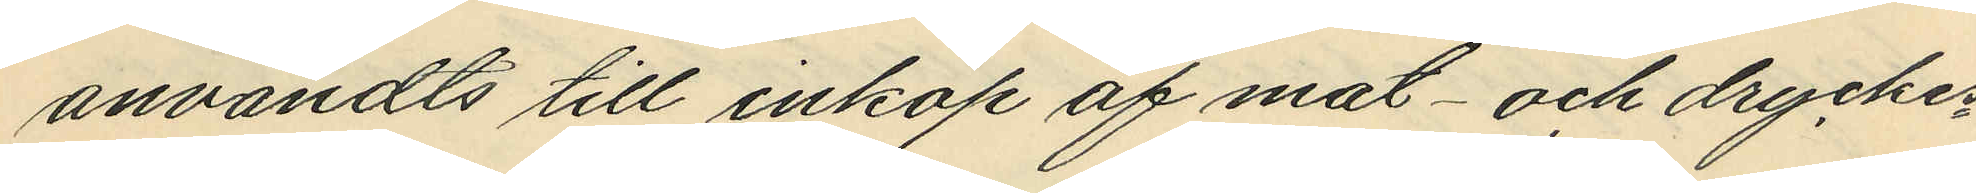användts till inköp af mat- och dryckes¬
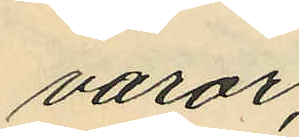varor.
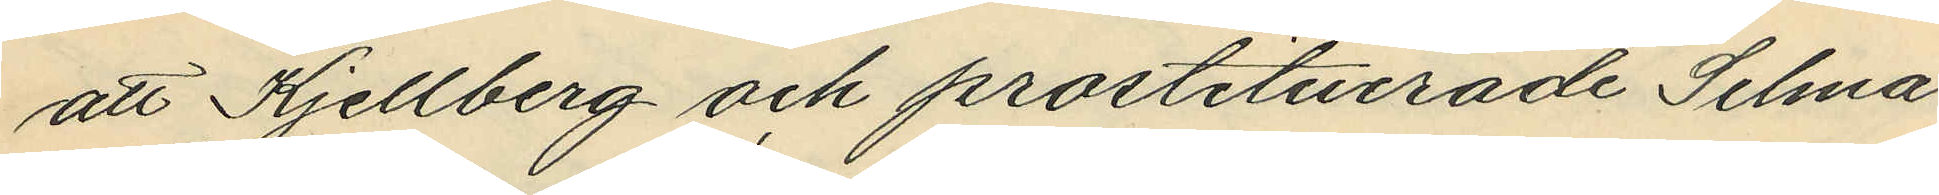att Kjellberg och prostituerade Selma
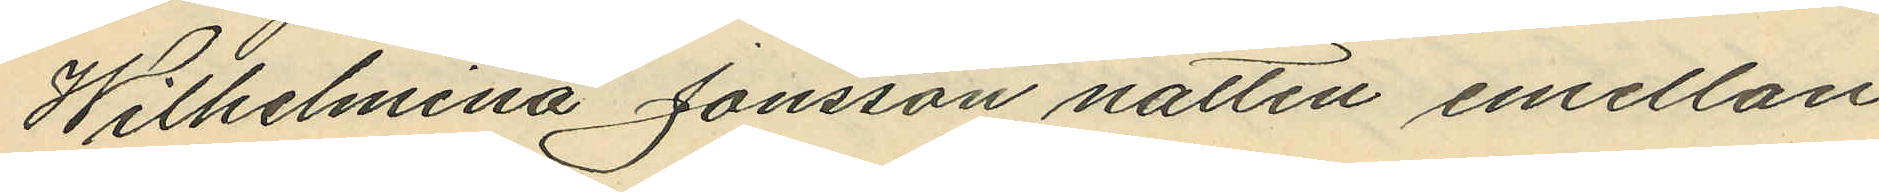Wilhelmina Jonsson natten emellan
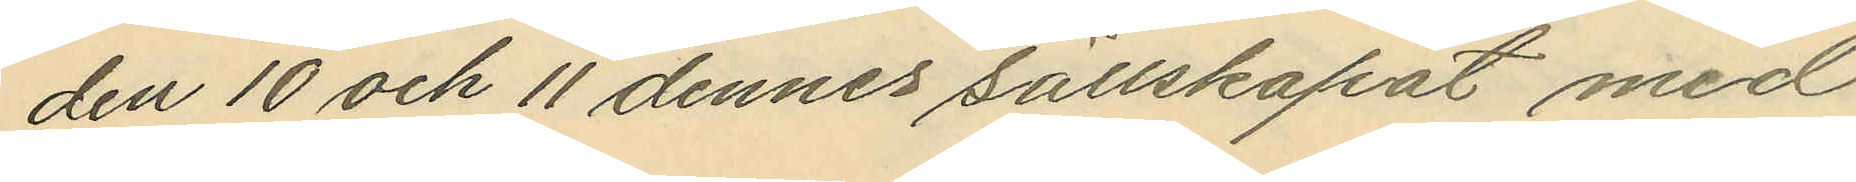den 10 och 11 dennes sällskapat med
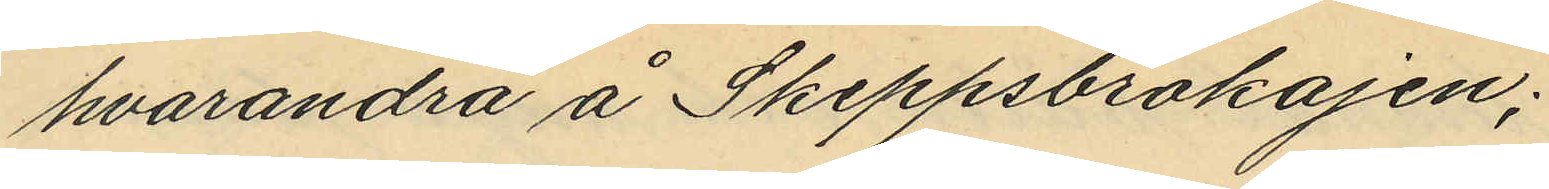hvarandra å Skeppsbrokajen;
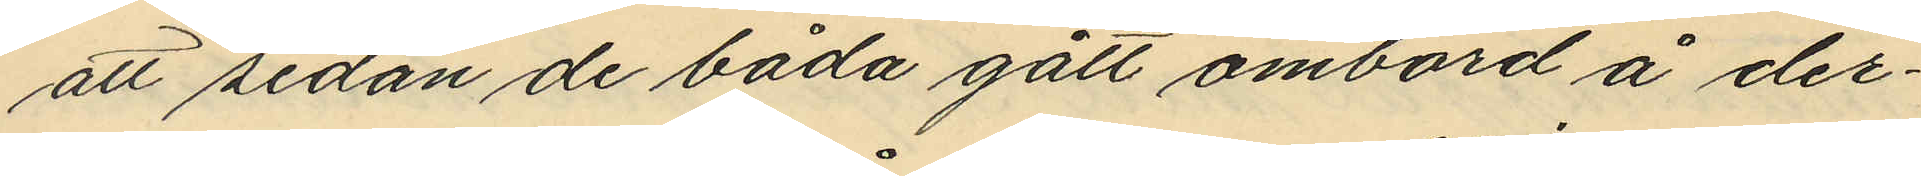att sedan de båda gått ombord å der¬
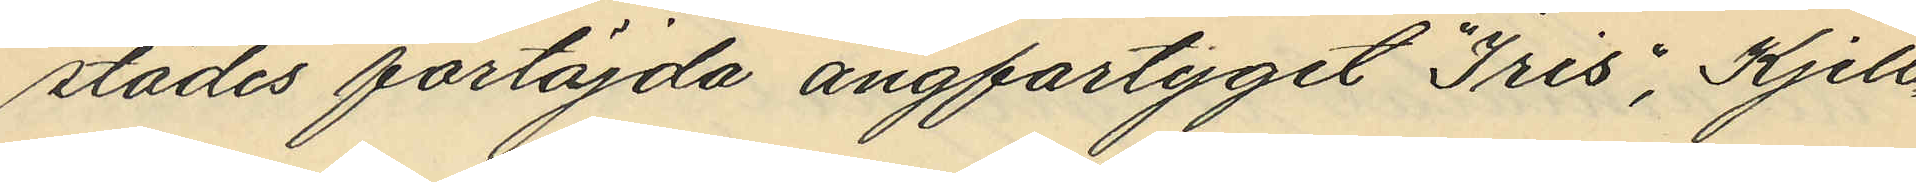städes förtöjda ångfartyget "Iris", Kjell¬
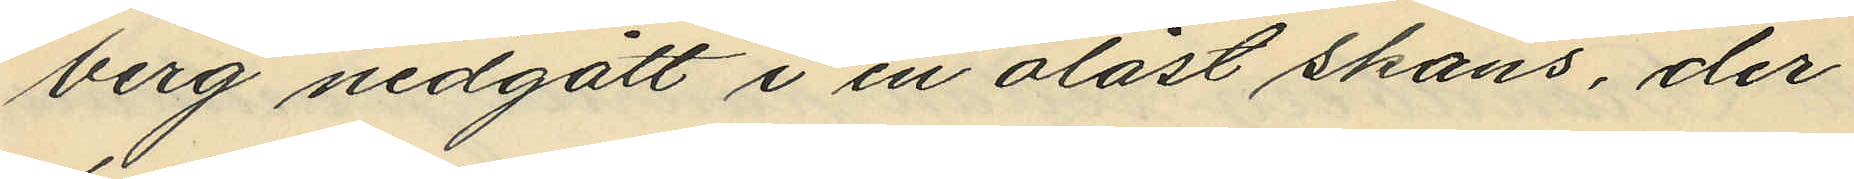berg nedgått i en olåst skans, der
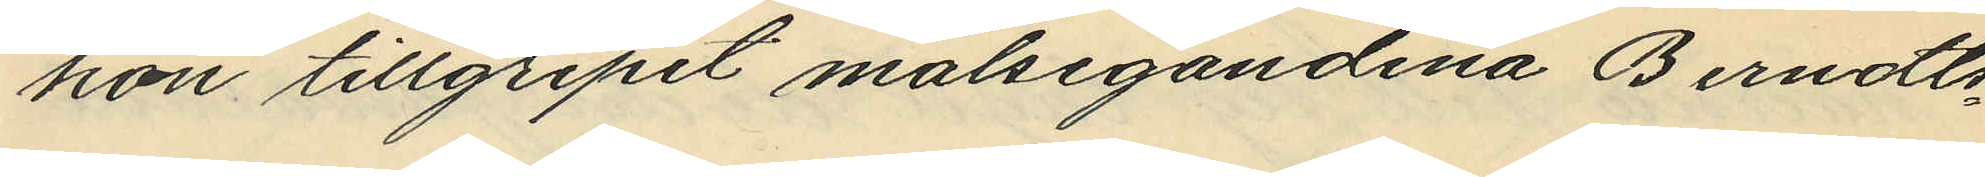hon tillgripit målsegandena Berndts¬
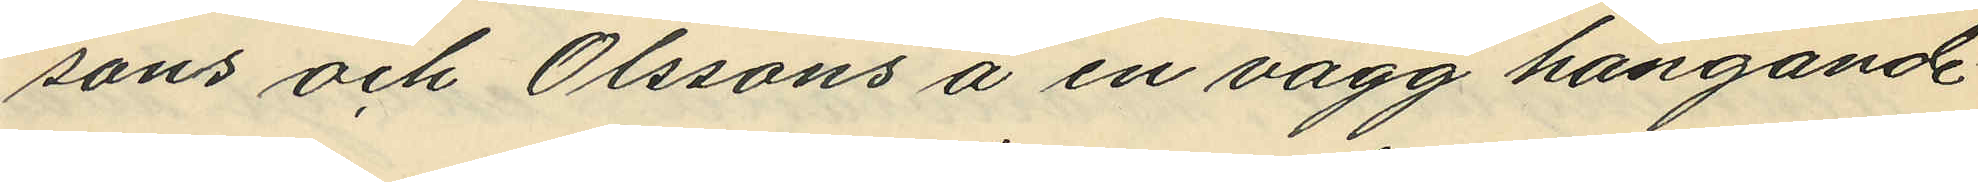sons och Olssons å en vägg hängande
